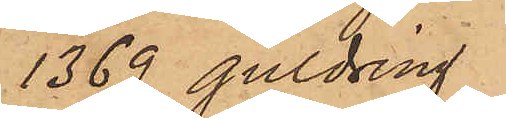1369 guldring
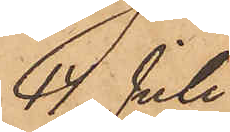14 Juli
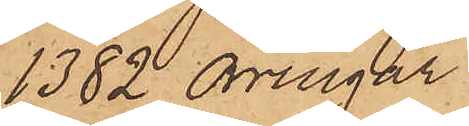1382 örringar
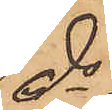do
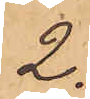2.
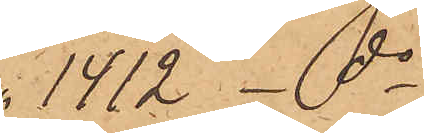1412 _ do
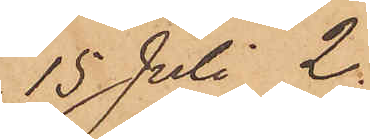15 Juli 2.
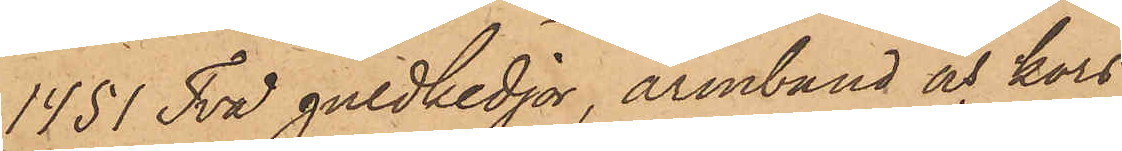1451 Två guldkedjor, armband och kors
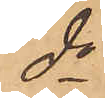do
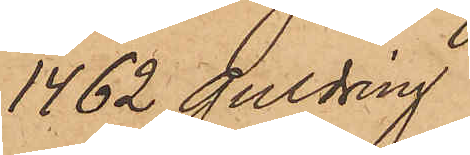1462 guldring
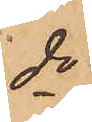do
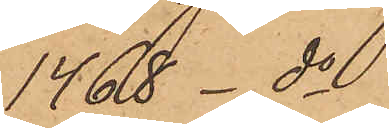1468  do
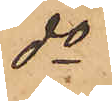do
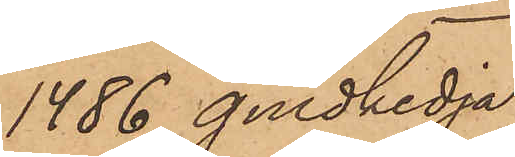1486 guldkedja
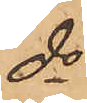do
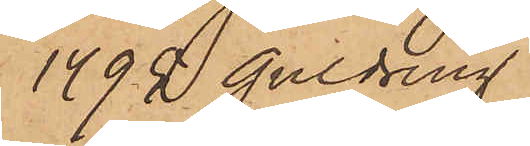1492 guldring
